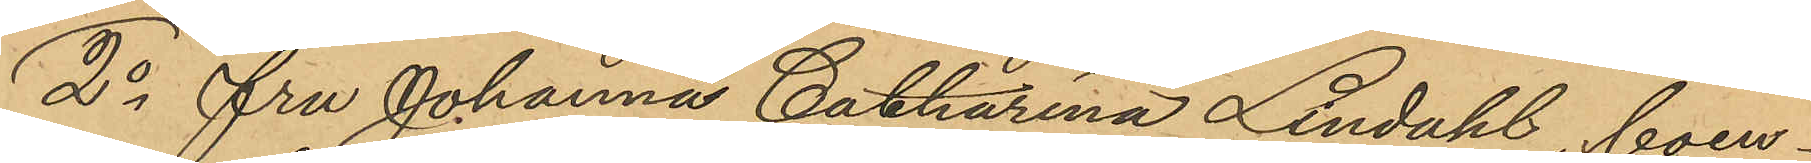2o Fru Johanna Catharina Lindahl, boen¬
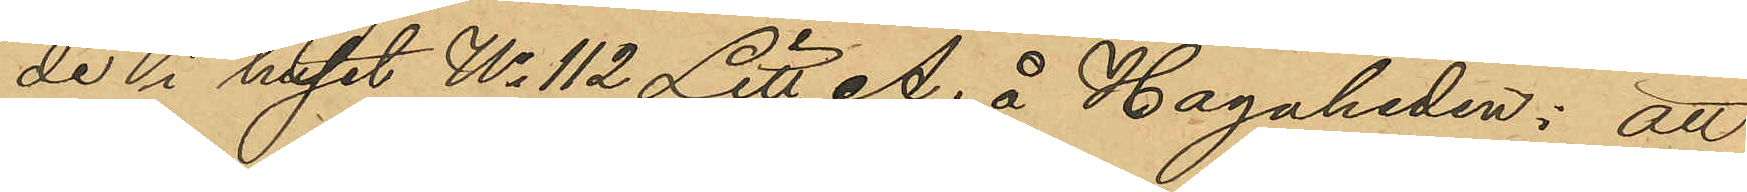de i huset No 112 Litt. A. å Hagaheden: att
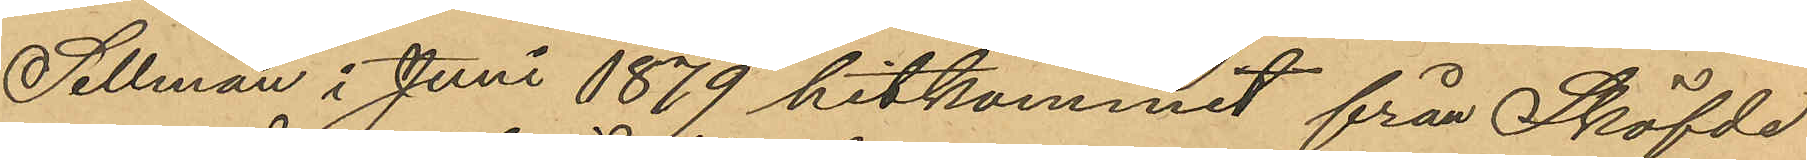Sellman i Juni 1879 hitkommit från Sköfde
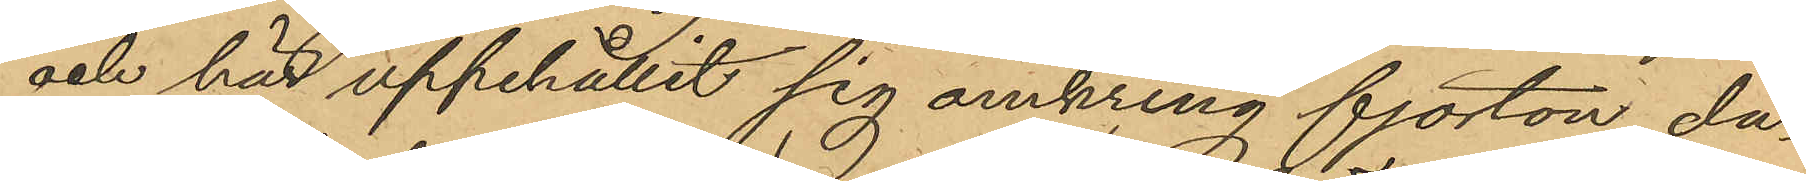och här uppehållit sig omkring fjorton da¬
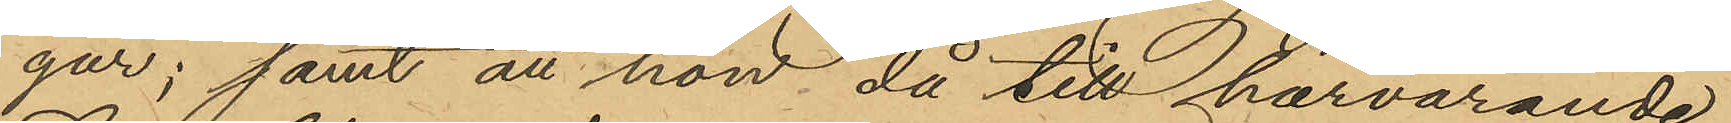gar; samt att hon då till härvarande
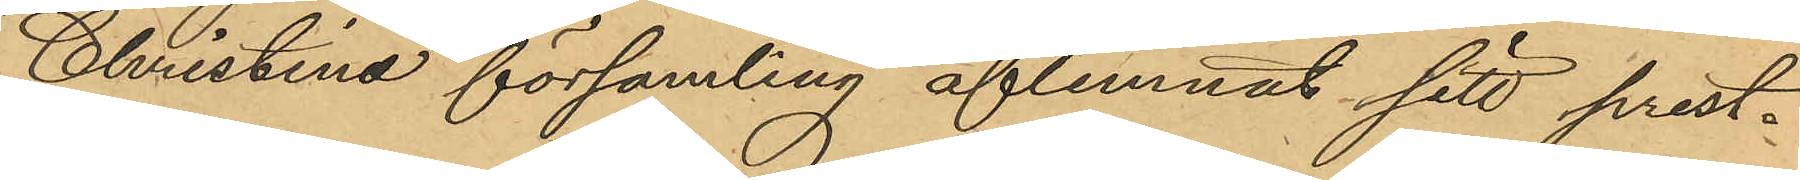Christina församling aflemnat sitt prest¬
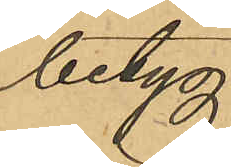betyg,
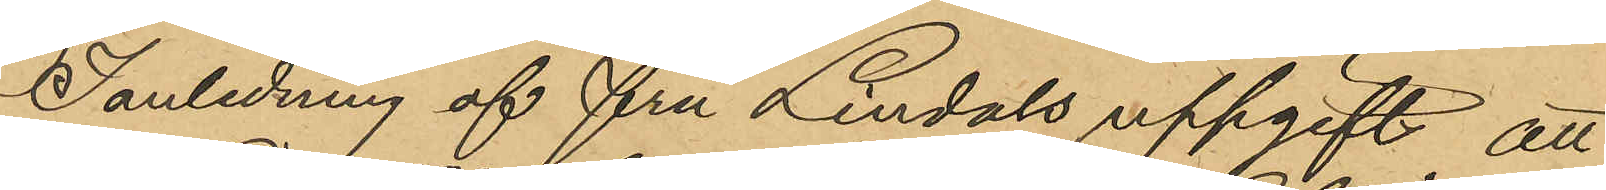I anledning af fru Lindals uppgift att
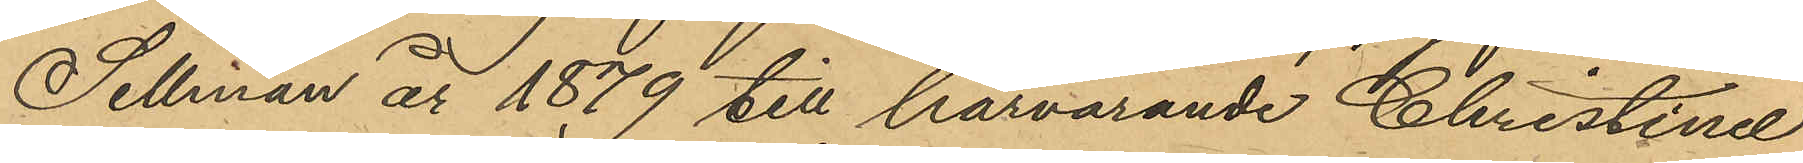Sellman år 1879 till härvarande Christinæ
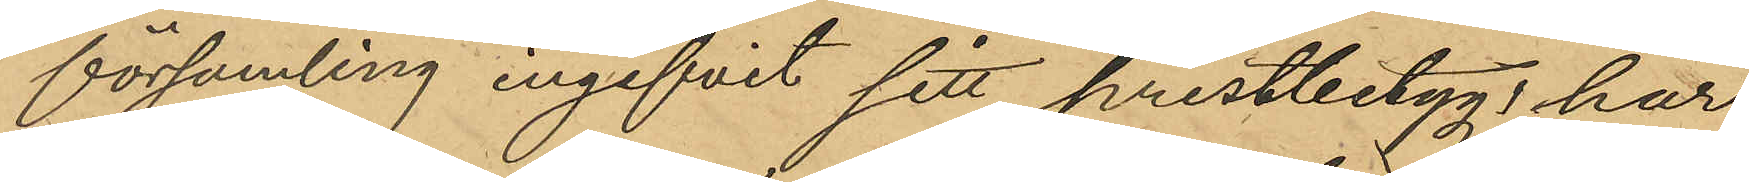församling ingifvit sitt prestbetyg, har
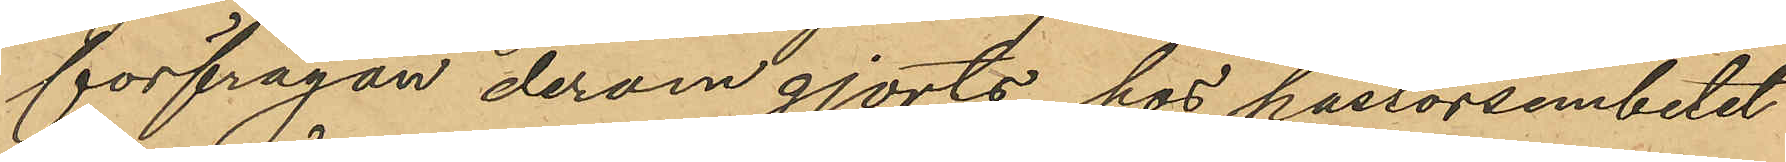förfrågan derom gjorts hos pastorsembetet
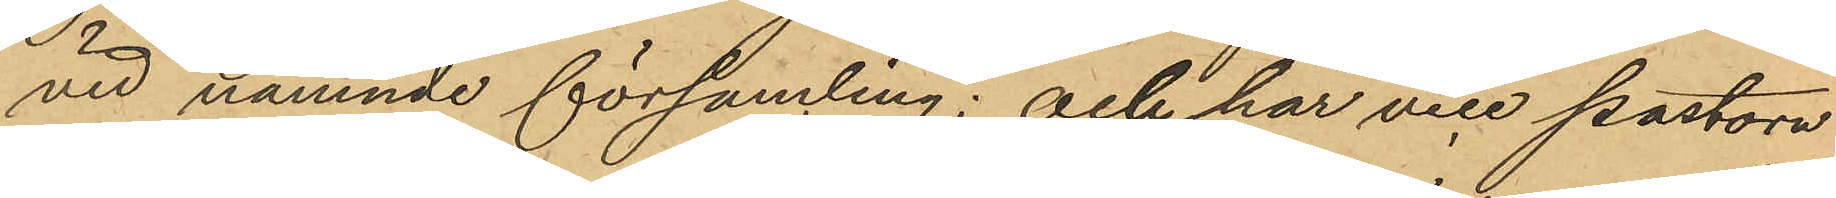vid nämnde församling; och har vice pastorn
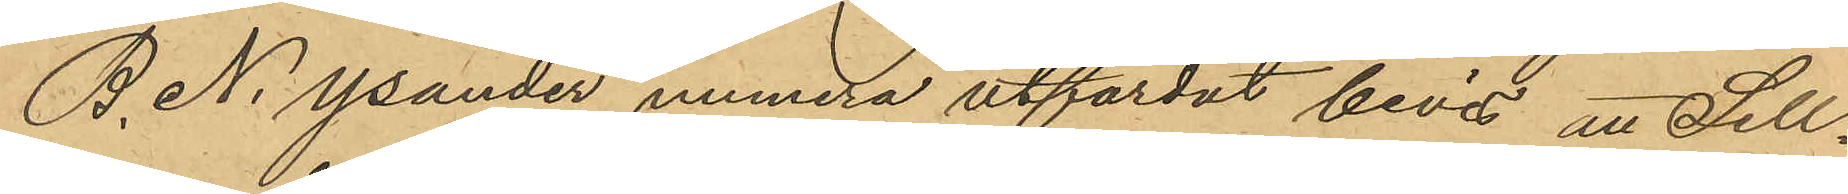B. N. Ysander numera utfärdat bevis att Sell¬
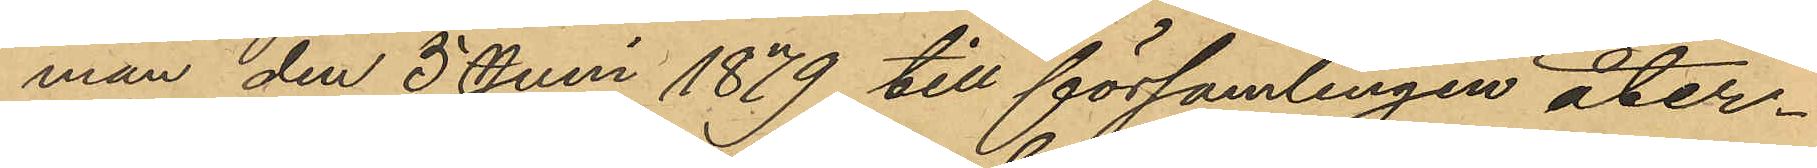man den 5 Juni 1879 till församlingen åter¬
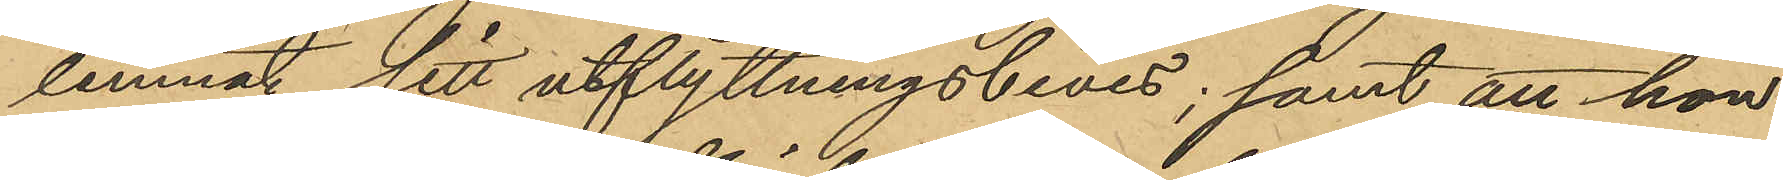lemnat sitt utflyttningsbevis; samt att hon
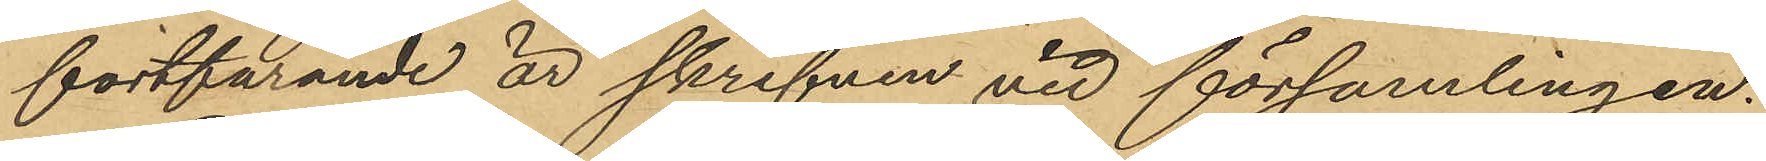fortfarande är skrifven vid församlingen.
